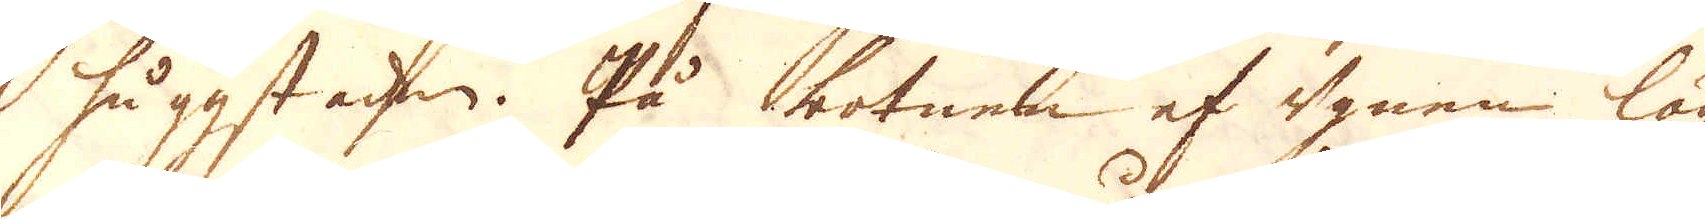huggstaden. På botnen af ugnen läg-
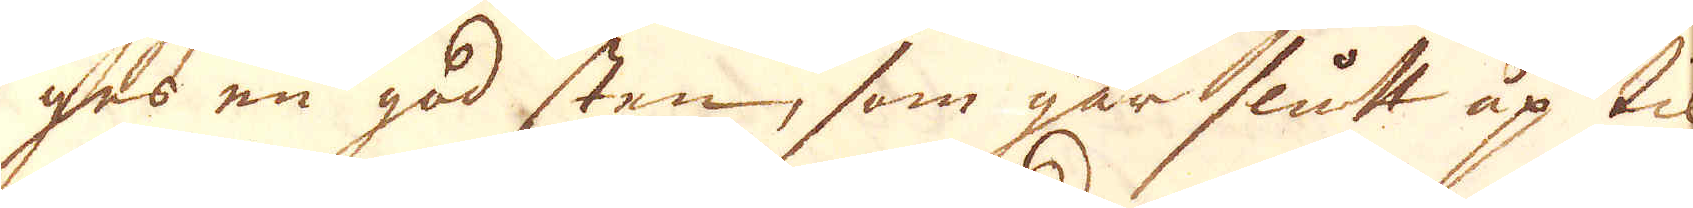ges en god sten, som går slutt up til
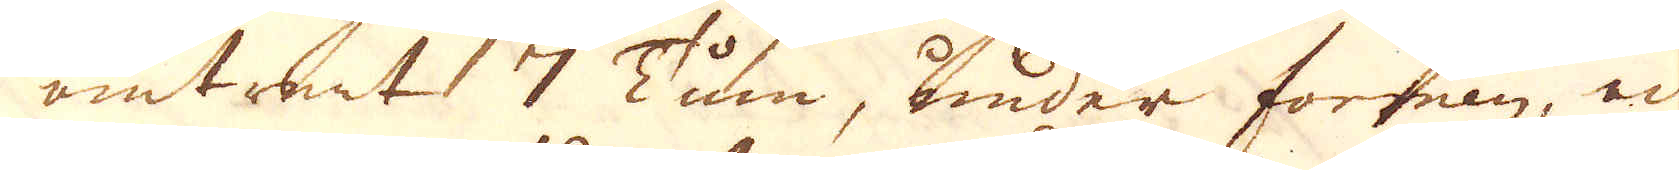omtrent 7 Tum, under formen, och
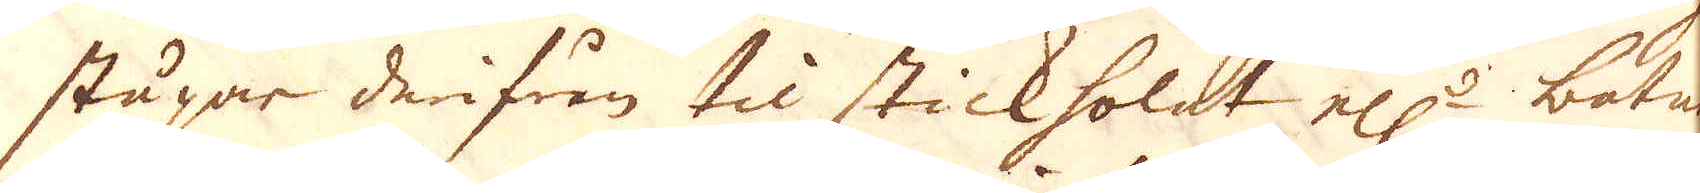stupar derifrån til stickholet el:r botnen.
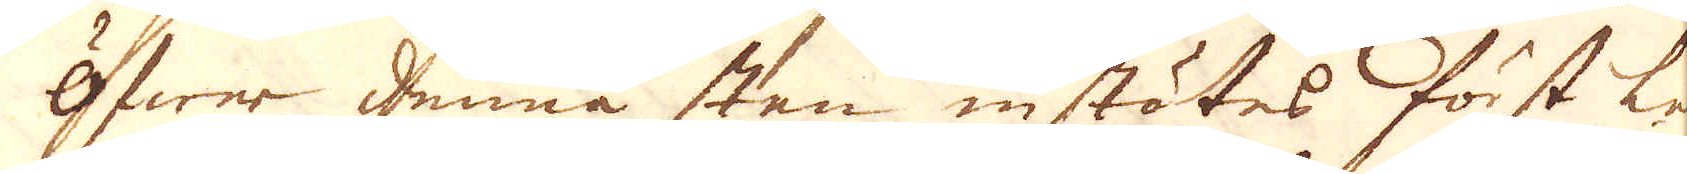Öfwer denna sten instötes först ler
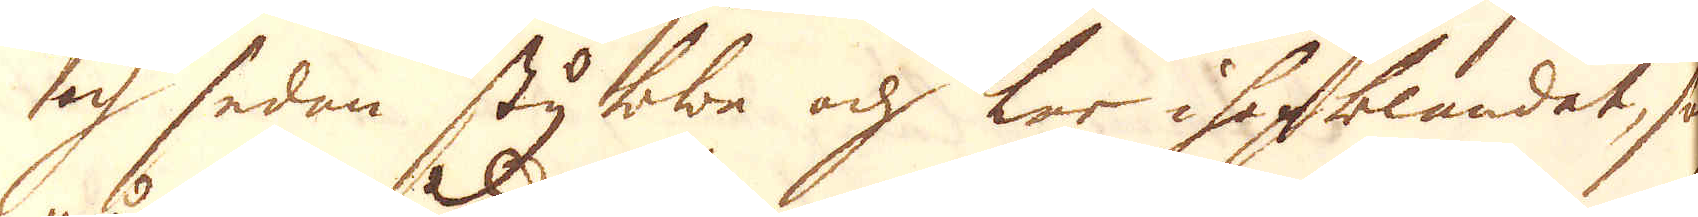och sedan stybbe och ler ihopblandat, som
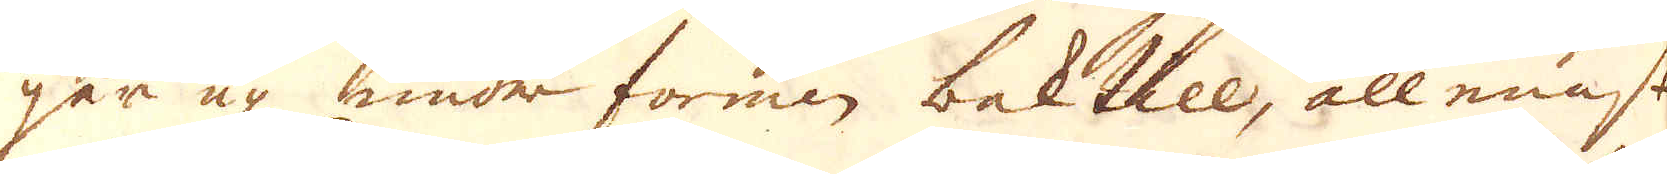går up under formen baktill, allenast
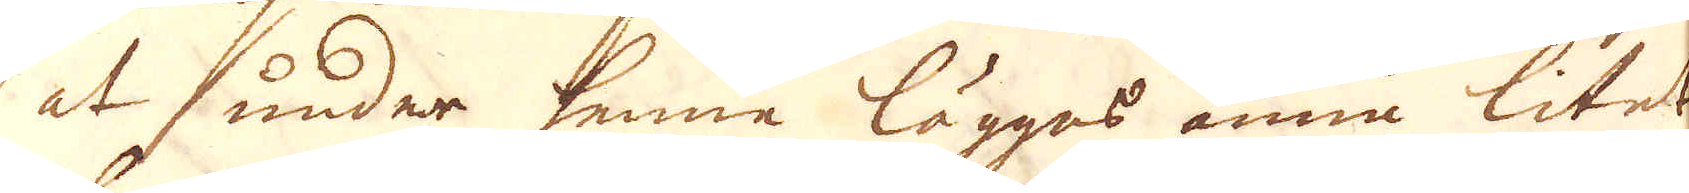at under henne lägges ännu litet
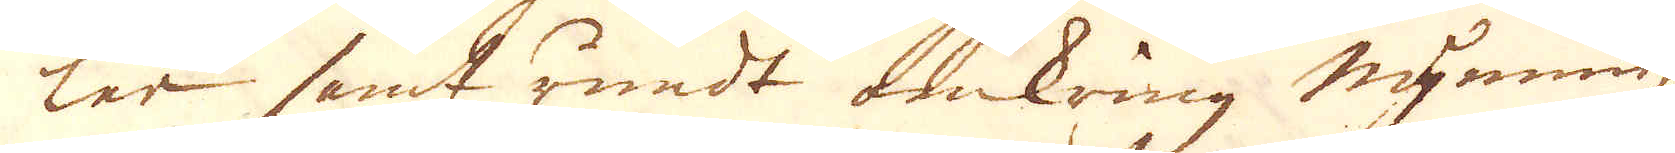ler samt rundt omkring mynningen
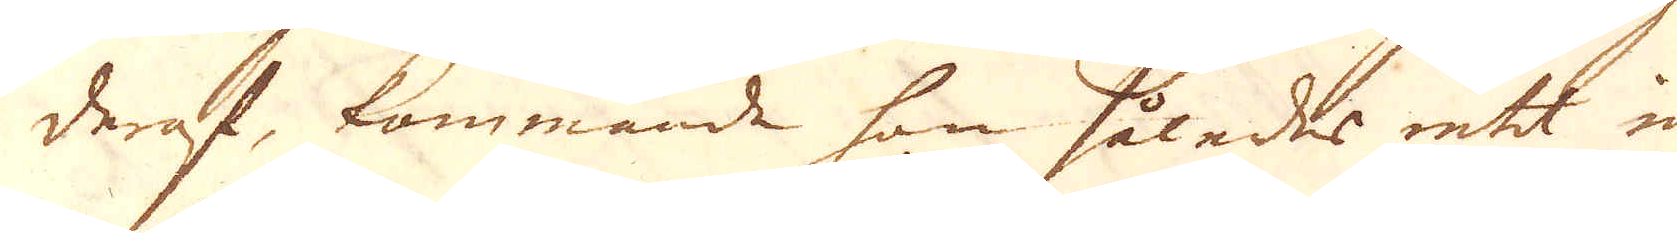deraf, kommande han således intet in
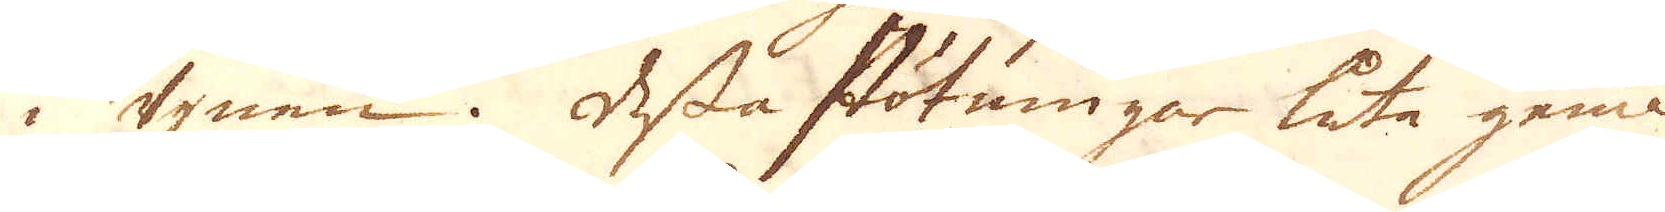i ugnen. Dessa stötningar luta gemenl:
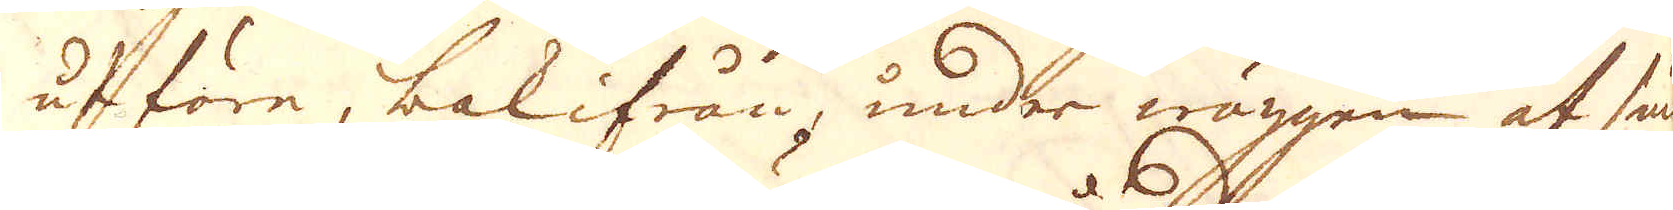utföre, bakifrån, under wäggen af smält-
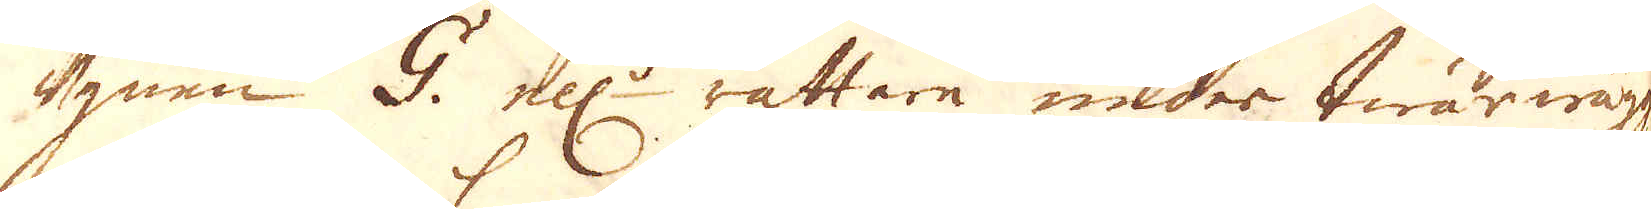ugnen G. ell:r rättare under twärwäggen
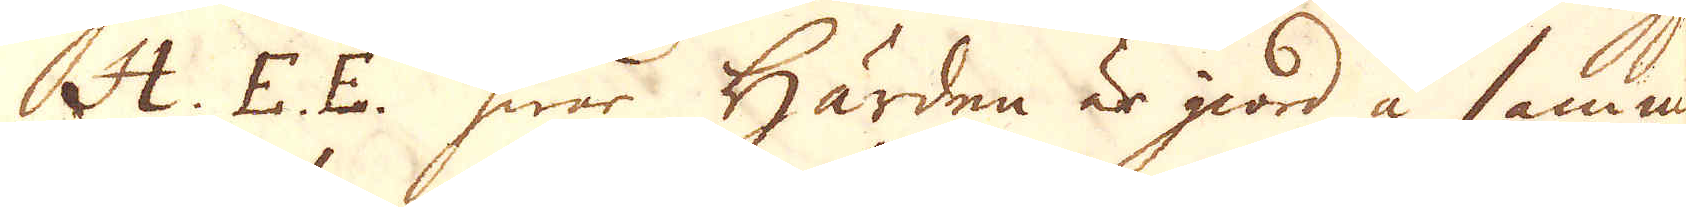H. E. E. hwar Härden är giord å samma
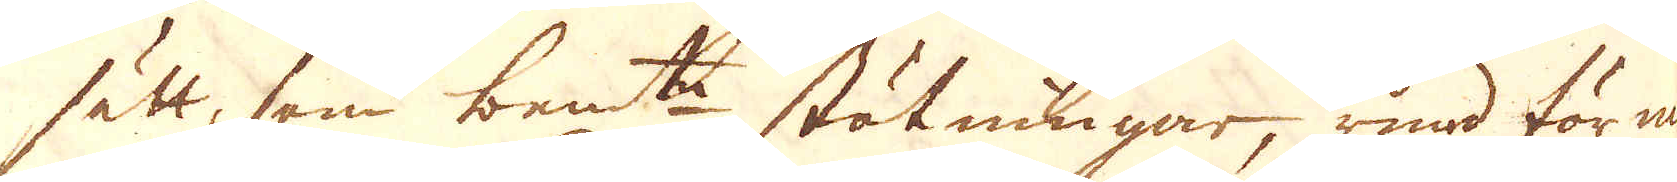sätt, som bem:te stötningar, rund för me-
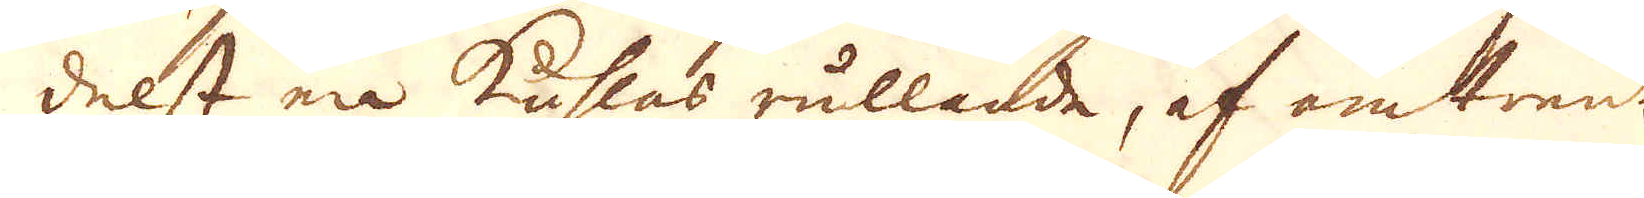delst en kuhlas rullande, af omtrent
